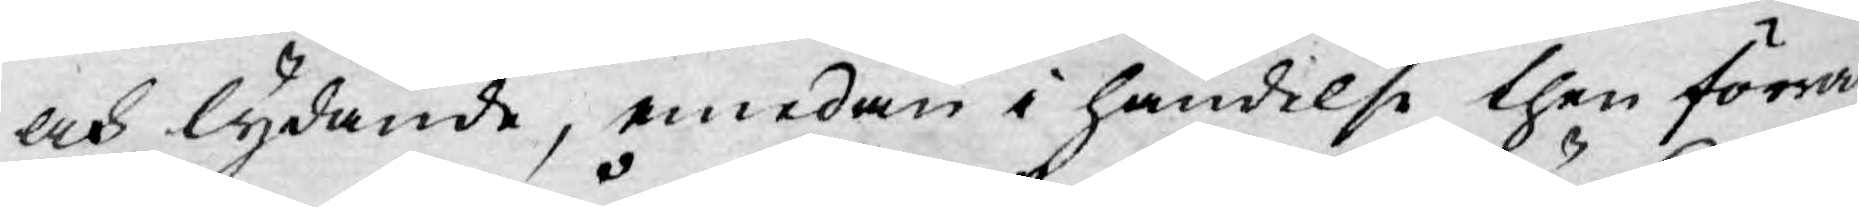och lydande, emedan i händelse then förra
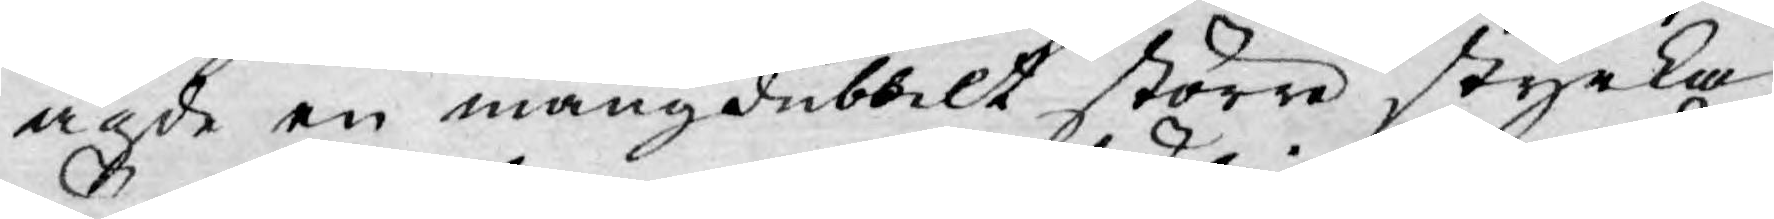ägde en mångdubbelt större styrka
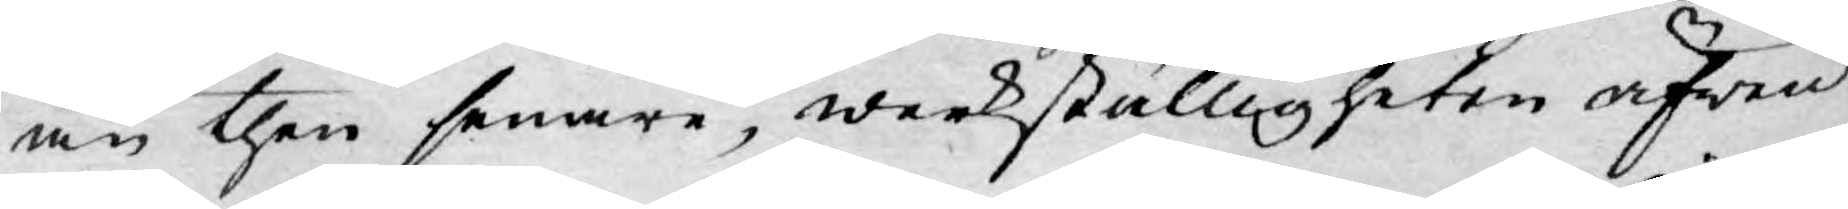än then senare, werkställigheten äfwen
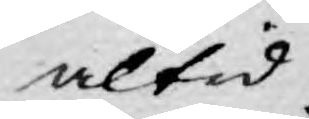altid
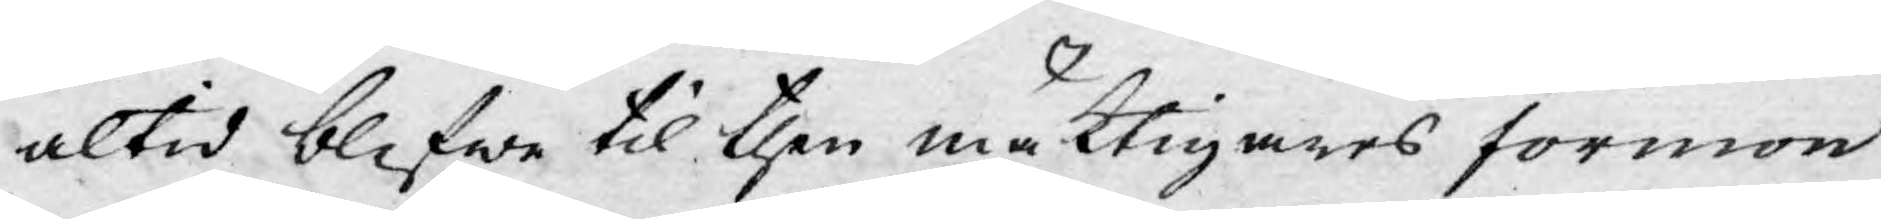altid blifwe til then mäktigares förmon
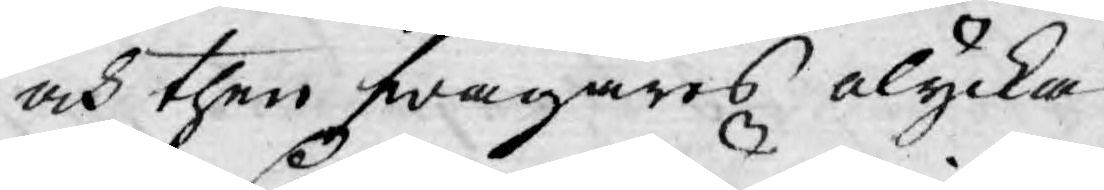och then swagares olycka.
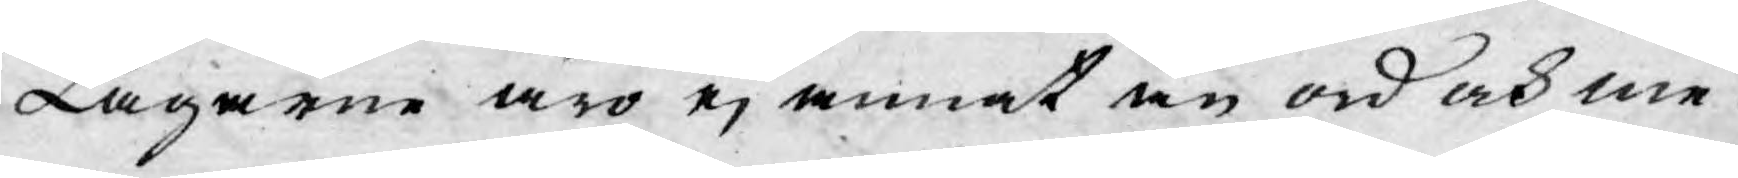Lagarne äro ej annat än ord och me¬
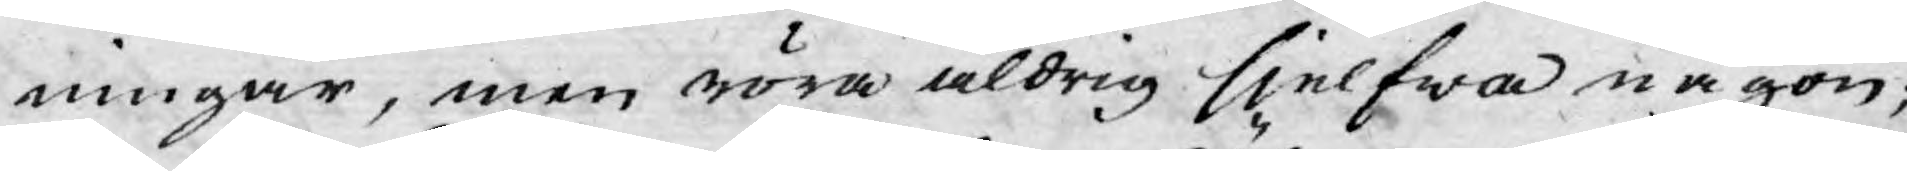ningar, men röra aldrig sjelfwa någon;
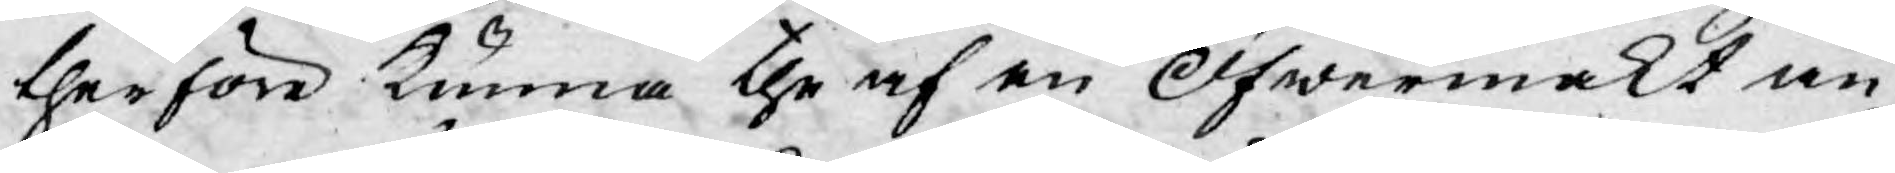therföre kunna the af en Öfwermakt an¬
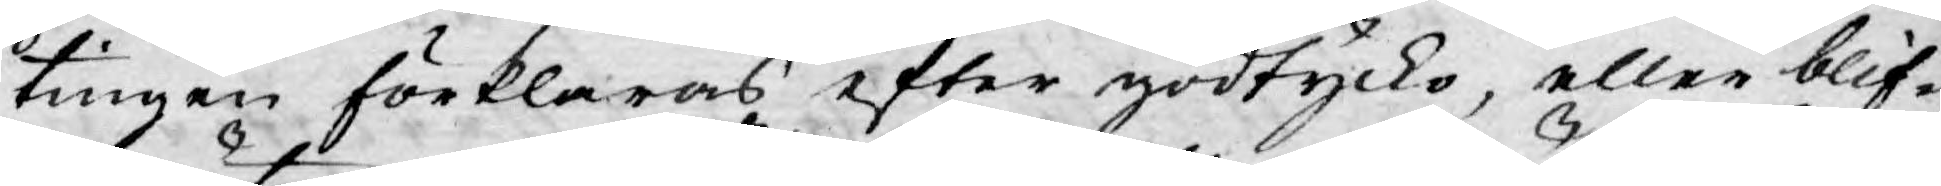tingen förklaras efter godtycko, eller blif¬
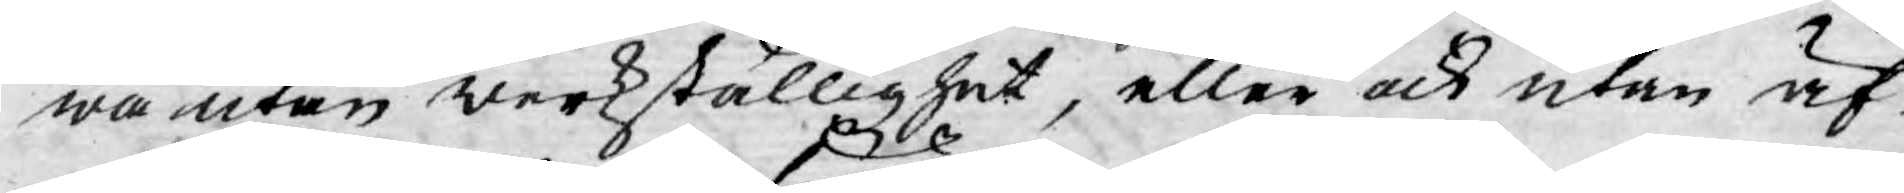wa utan werkställighet, eller ock utan äf¬
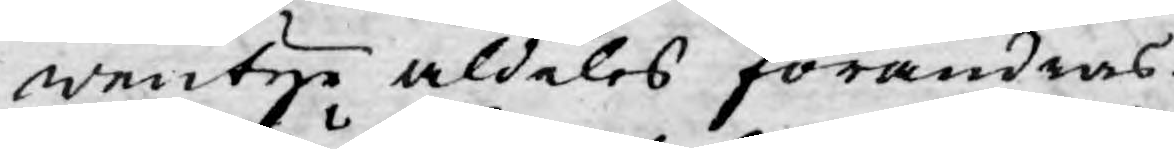wentyr aldeles förändras.
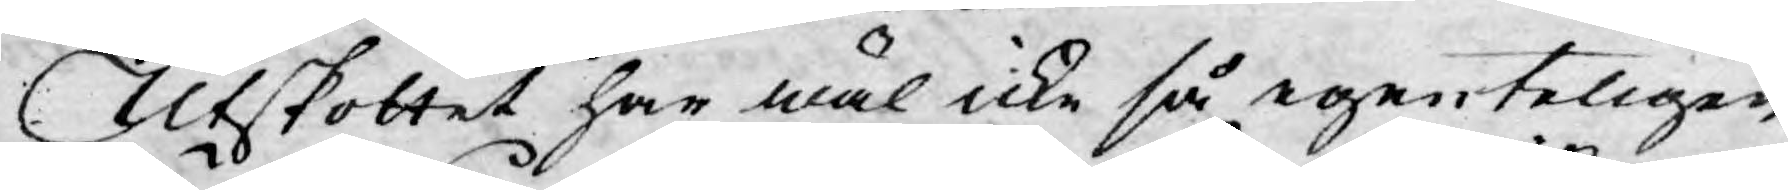Utskottet har wäl icke så egenteligen
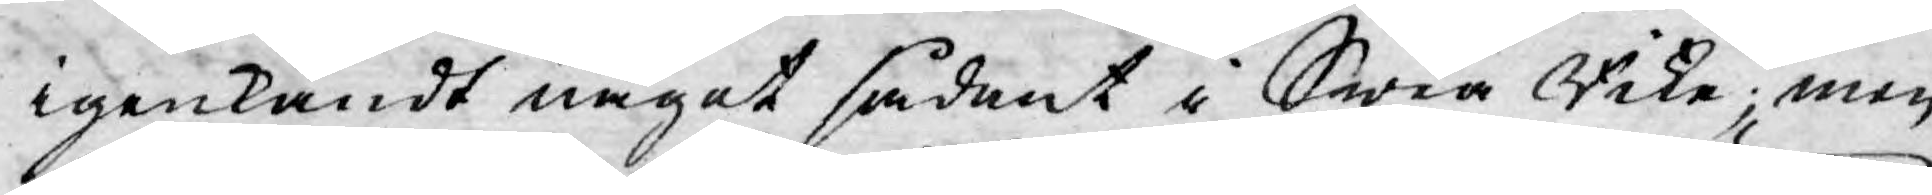igenkändt något sådant i Swea Rike; men
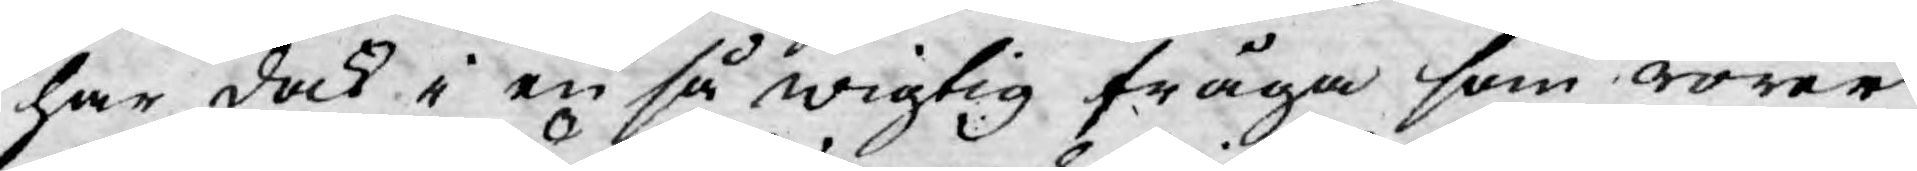har dock i en så wigtig fråga som rörer
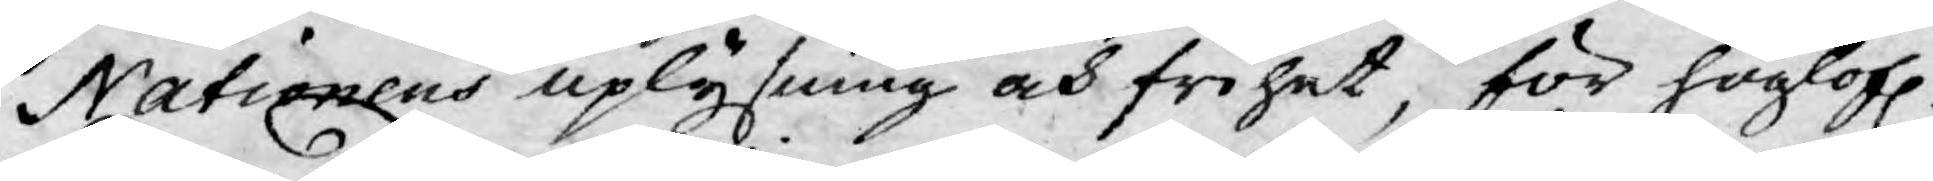Nationens uplysning och frihet, för höglofl.
